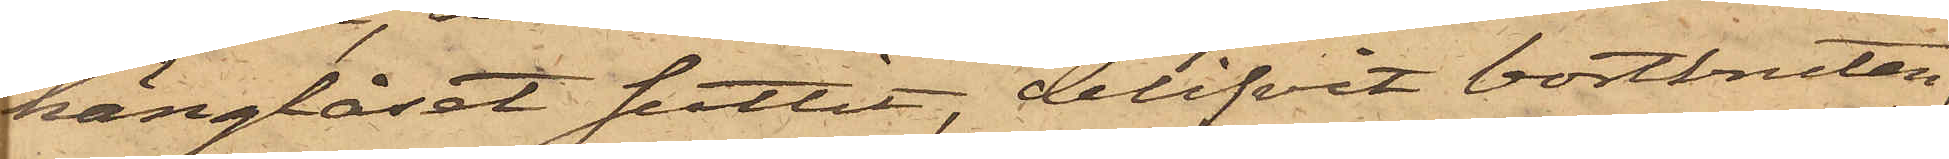hänglåset suttit, blifvit bortbruten,
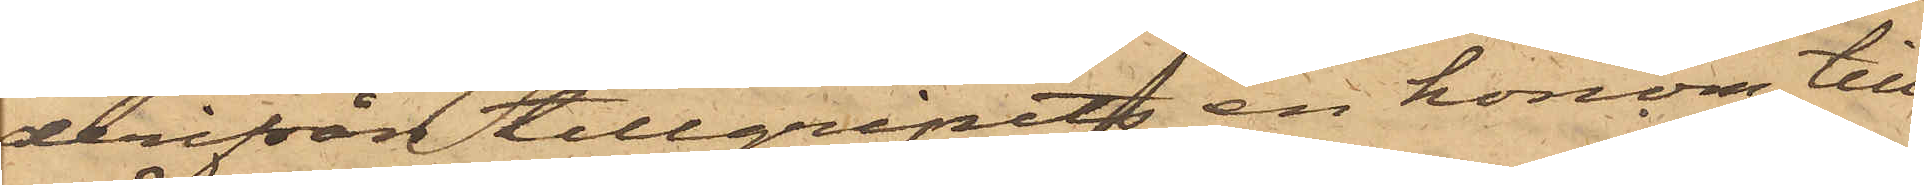derifrån tillgripits en honom till¬
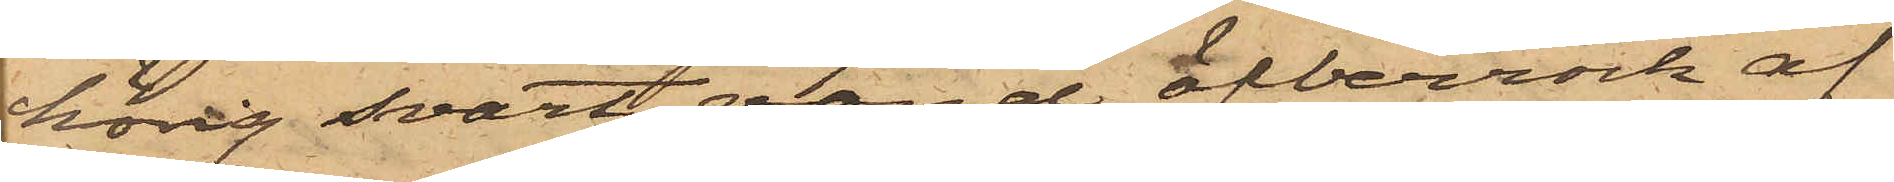hörig svart, vänd öfverrock af
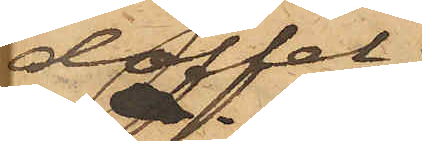doffel;
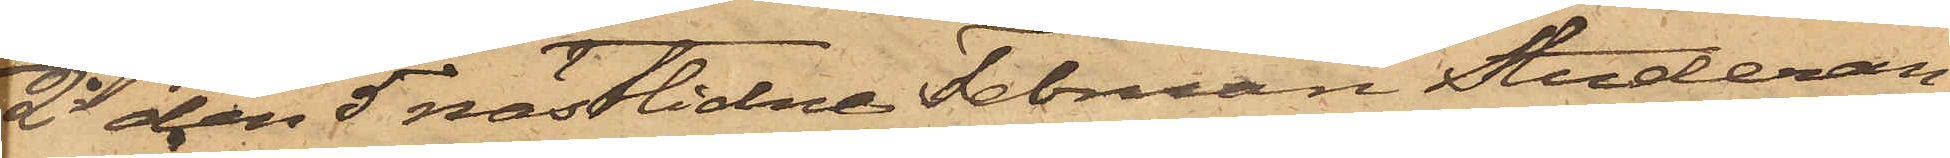2o den 5 nästlidne Februari Studeran¬
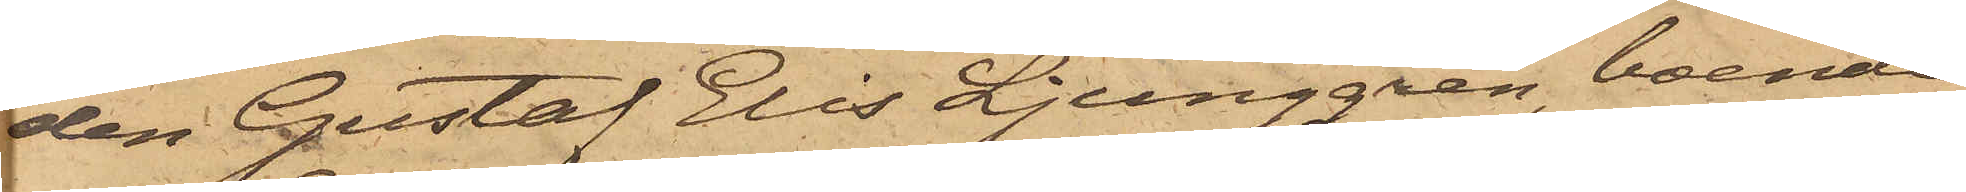den Gustaf Elis Ljunggren, boende
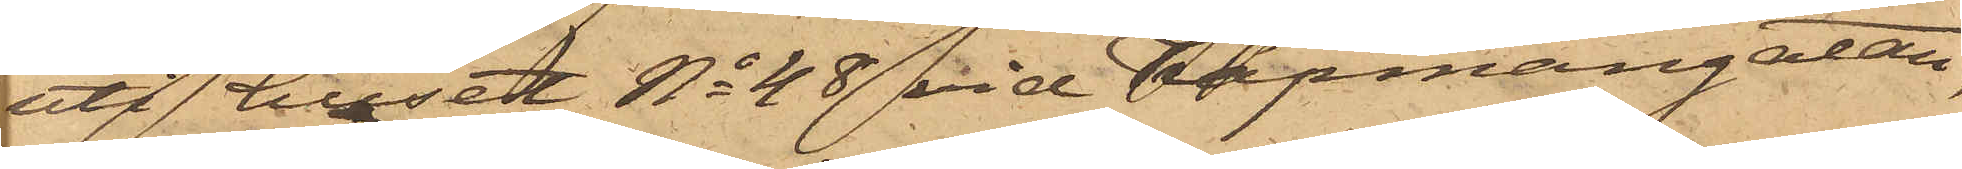uti huset No 48 vid Köpmangatan,
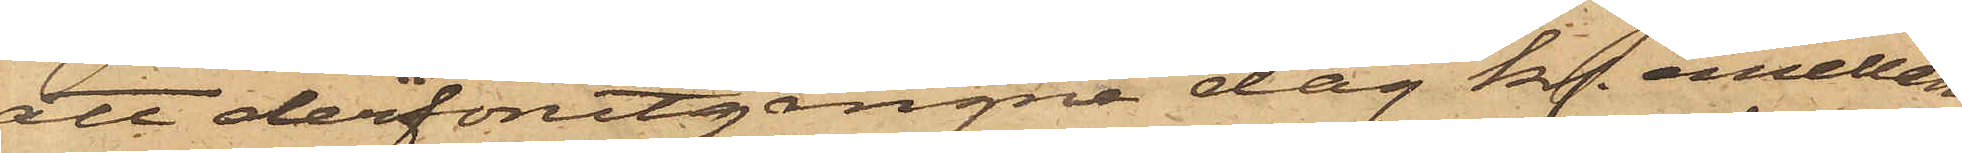att derförutgångne dag kl. emellan
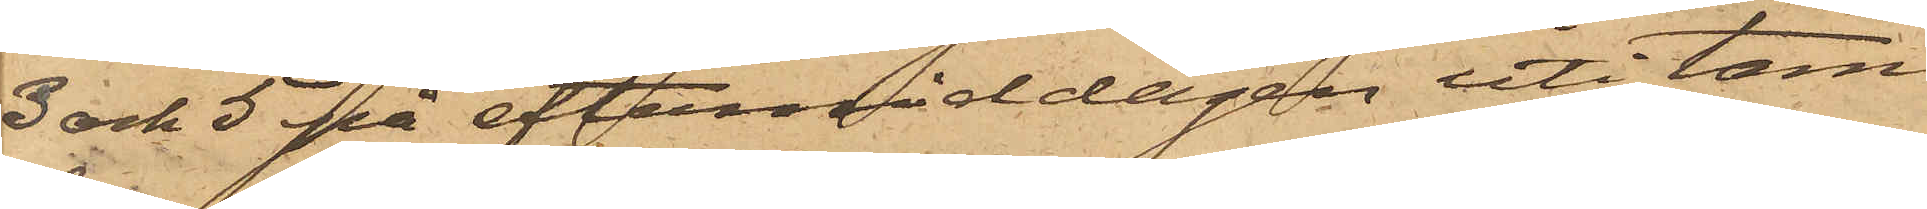3 och 5 på eftermiddagen uti tam¬
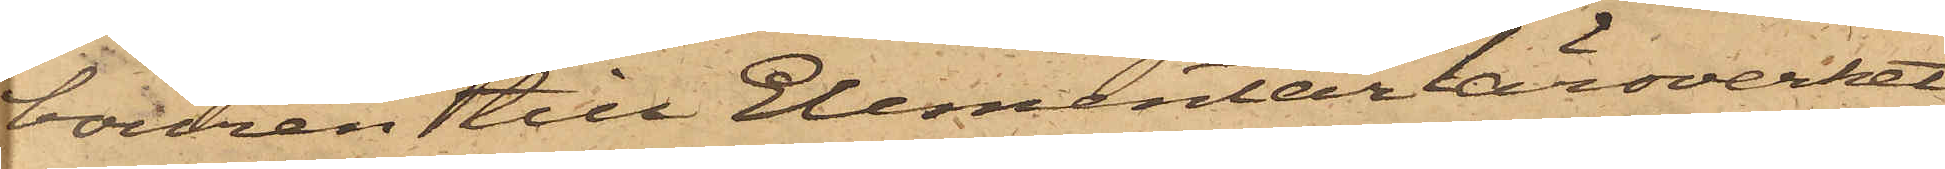bouren till Elementarläroverket
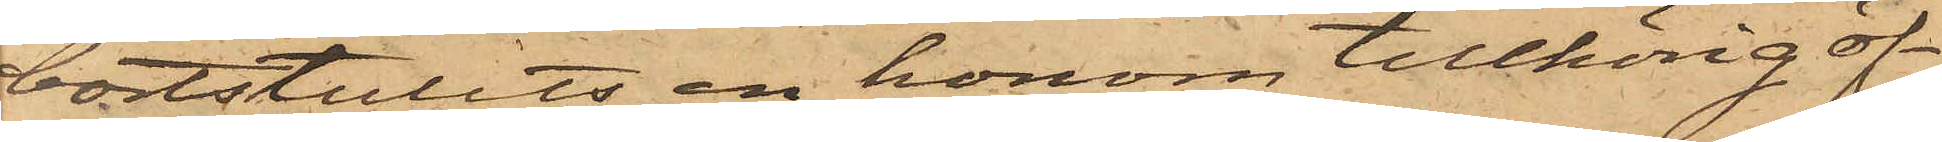bortstulits en honom tillhörig öf¬
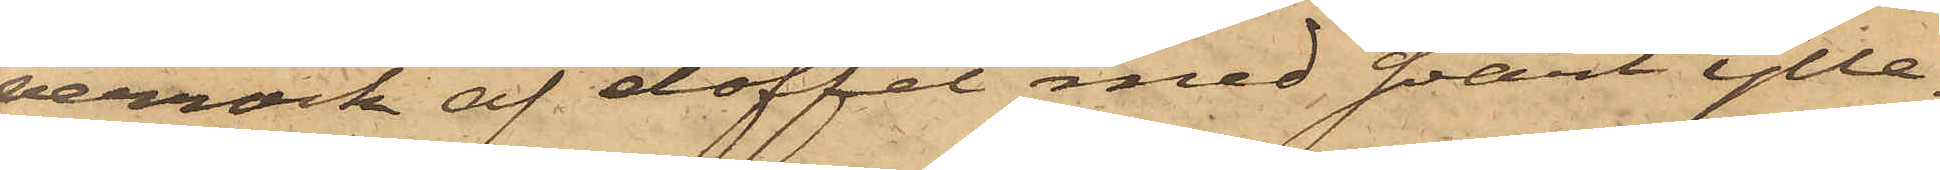verrock af doffel med svart ylle¬
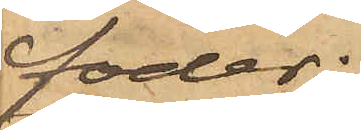foder;
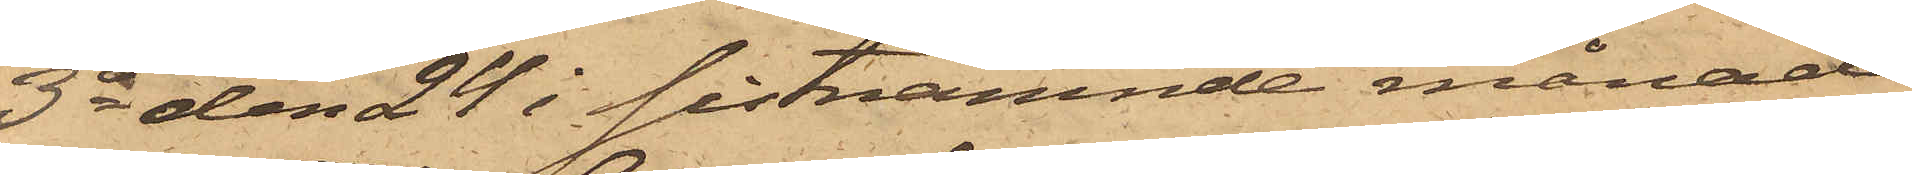3o den 24 i sistnämnde månad
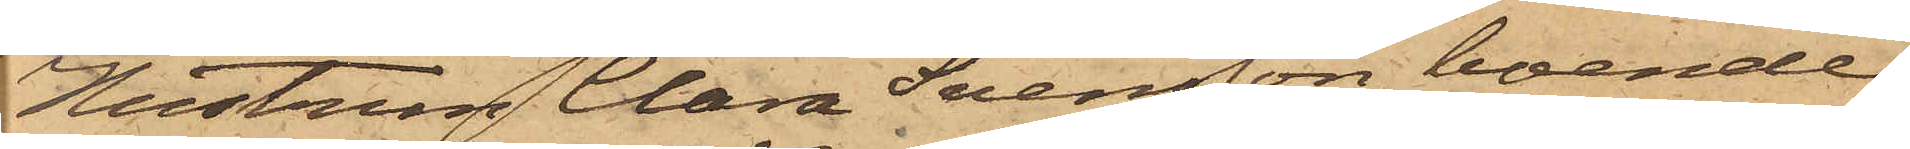Hustrun Clara Svensson, boende
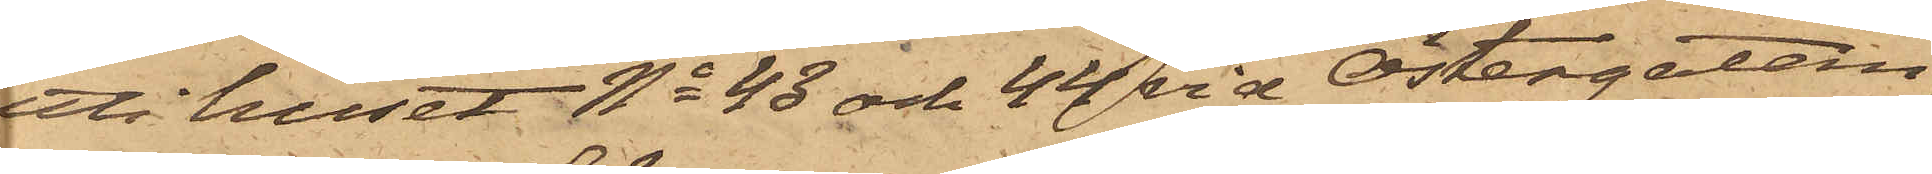uti huset No 43 och 44 vid Östergatan,
